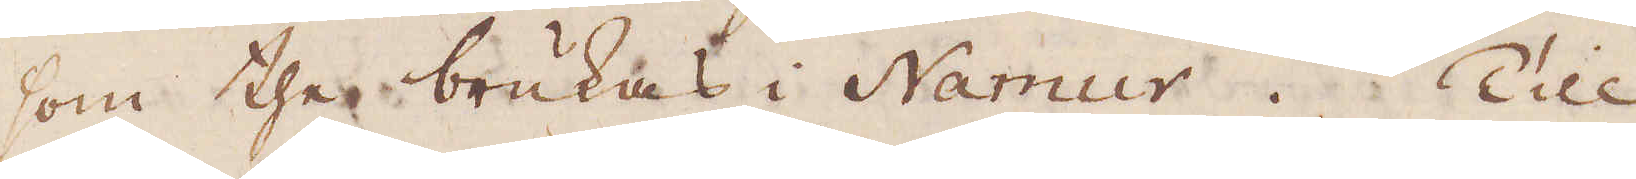som the brukas i Namur. Till
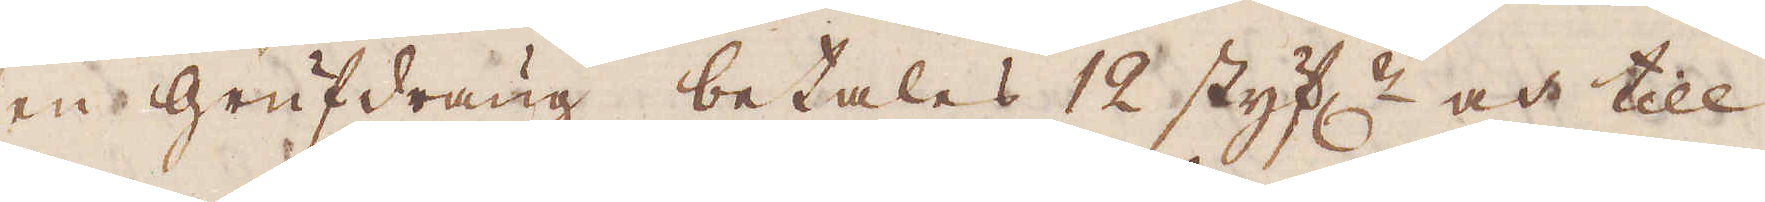en Grufdräng betalas 12 styf:r och till
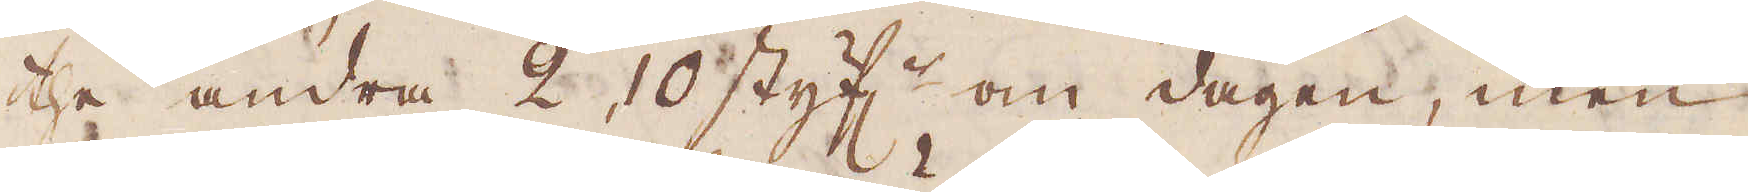the andra 2, 10 styf:r om dagen, men
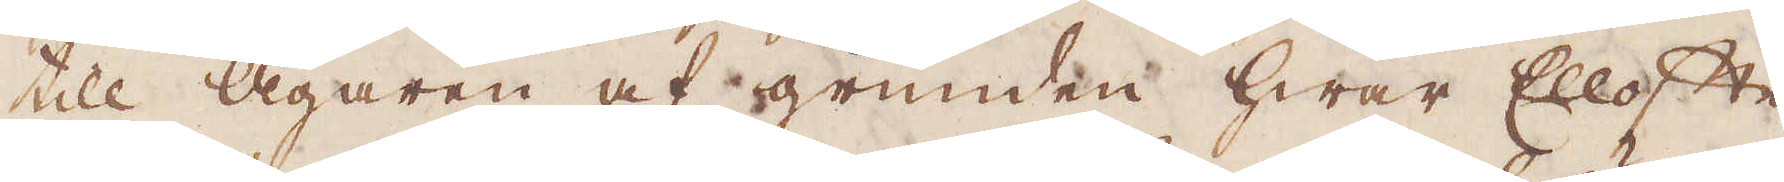till ägaren af grunden hwar Ellofte
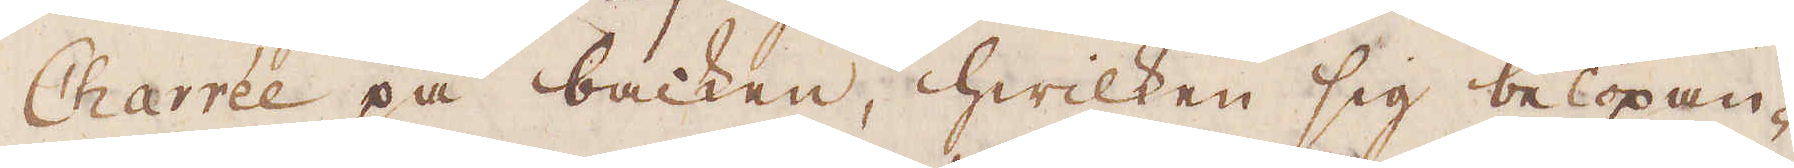Charrée på backen, hwilken sig belöpan-
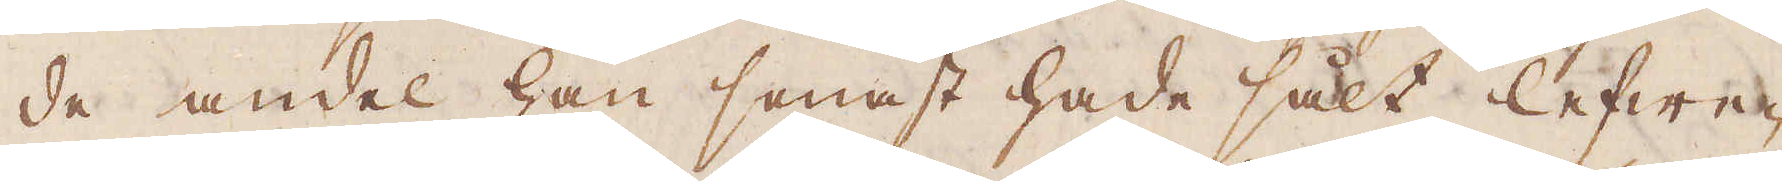de andel han senast hade sålt lefwe-
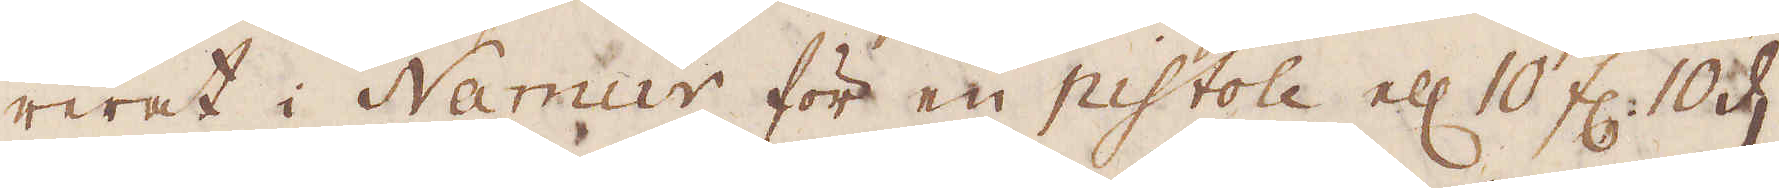rerat i Namur, för en pistole el:r 10 fl: 10 d.
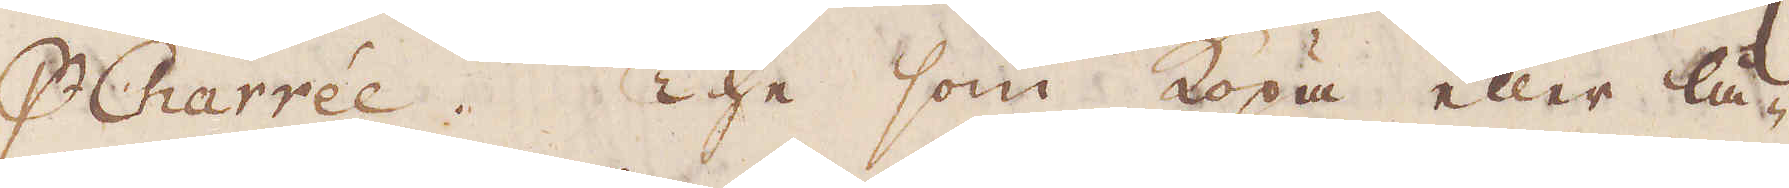p Charrée. The som köpa eller lå-
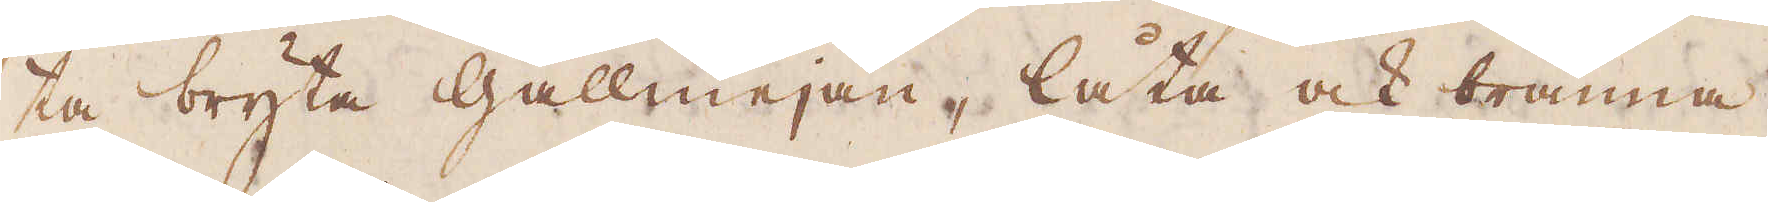ta bryta gallmejan, låta ock bränna
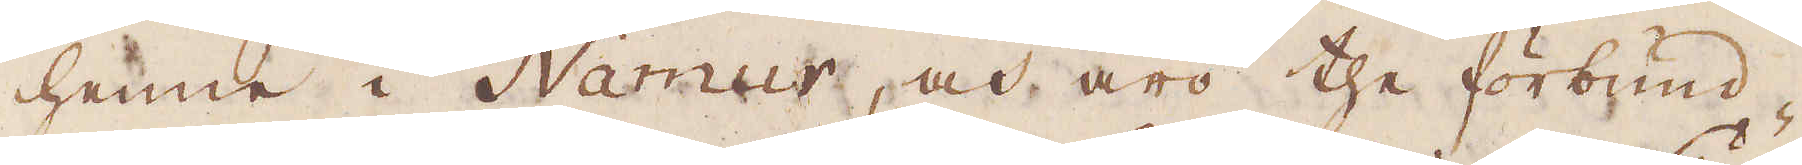henne i Namur, och äro the förbund-
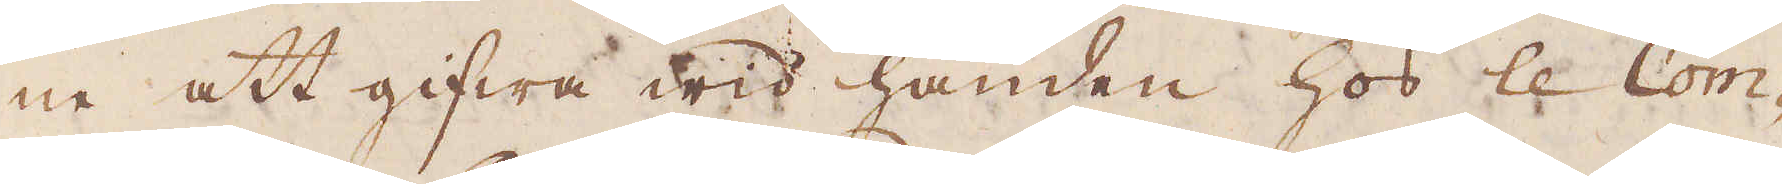na att gifwa wid handen hos le Com-
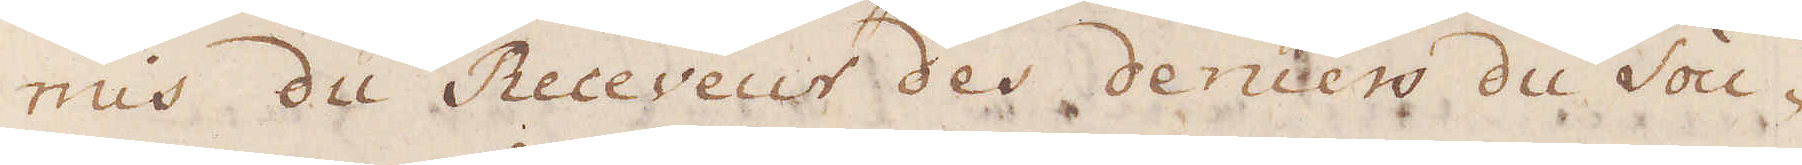nus du Receveur des deniers du Sou-
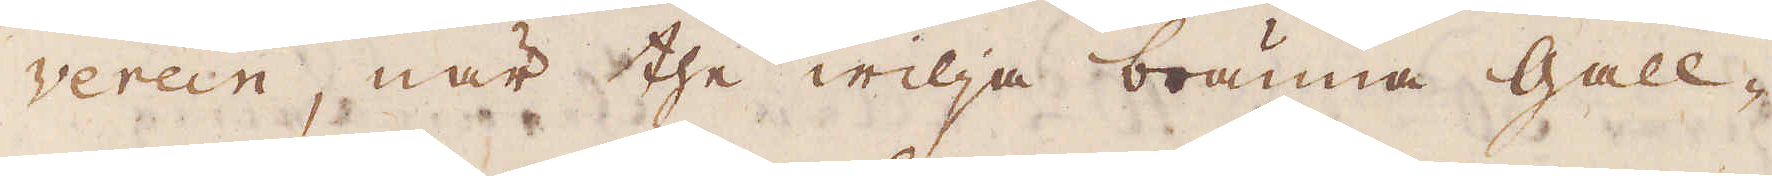verein, när the wilja bränna Gall-
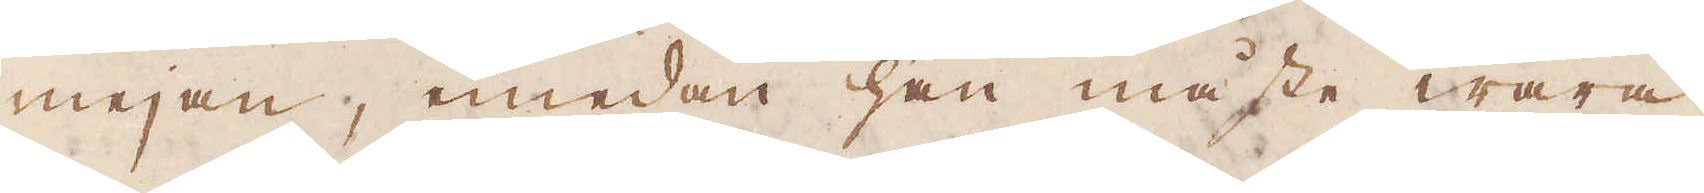mejan, medan han måste wara
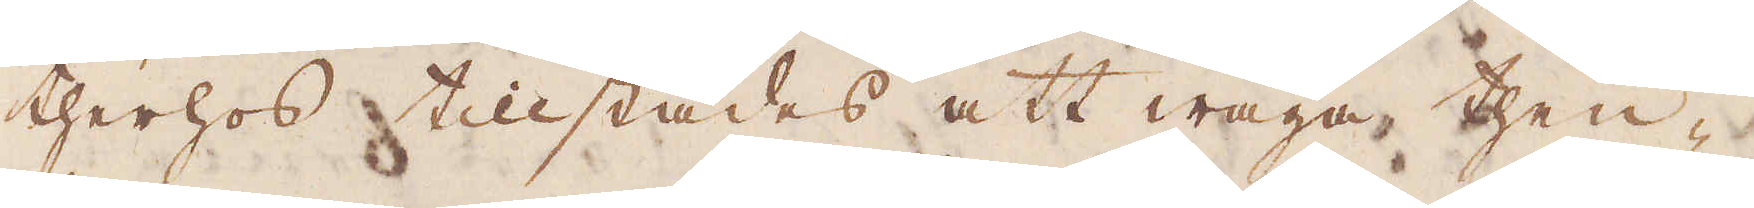therhos tillstädes att wäga then-
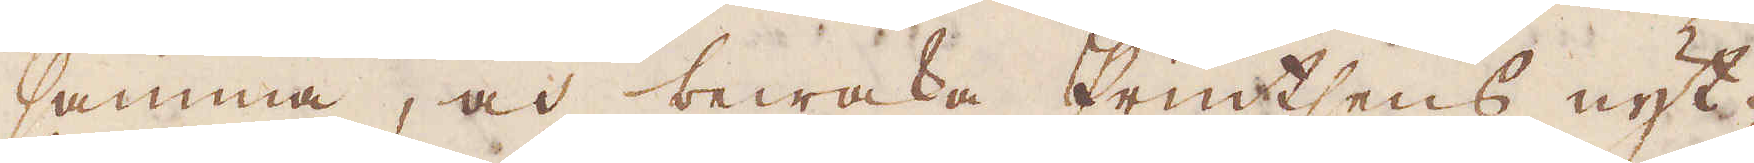samma, och bewaka Printsens nyt-
